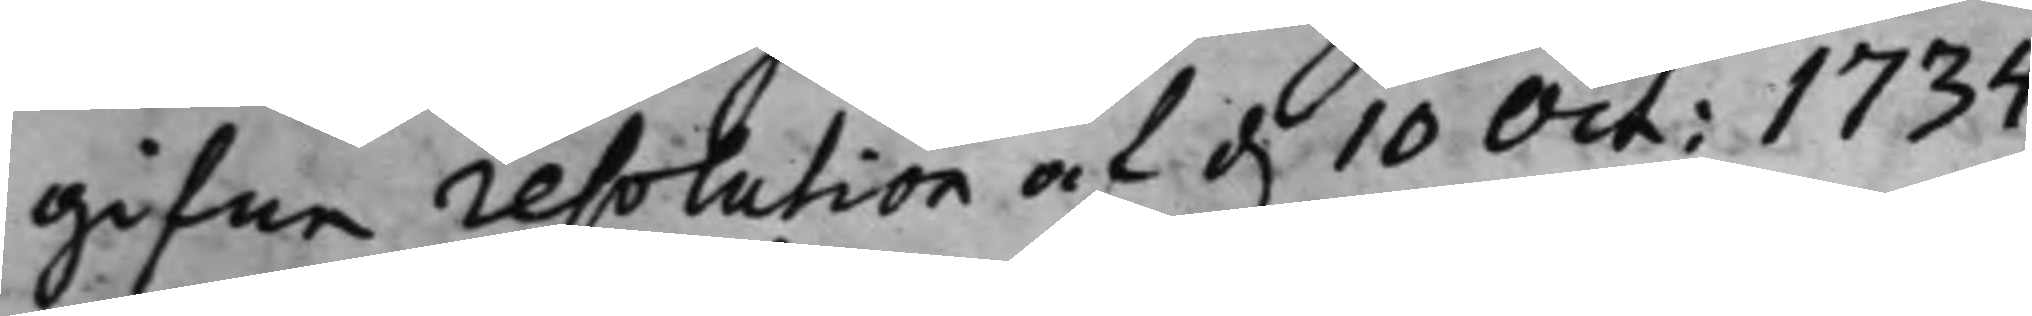gifne resolution af d. 10 Oct. 1734
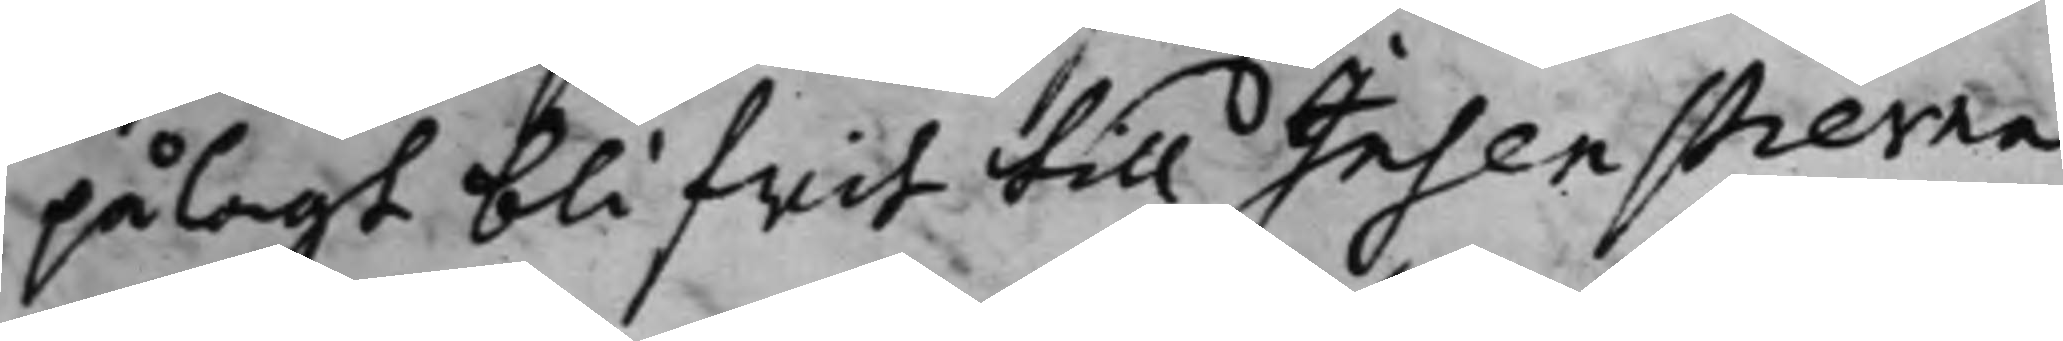pålagt blifwit till Insenstierna
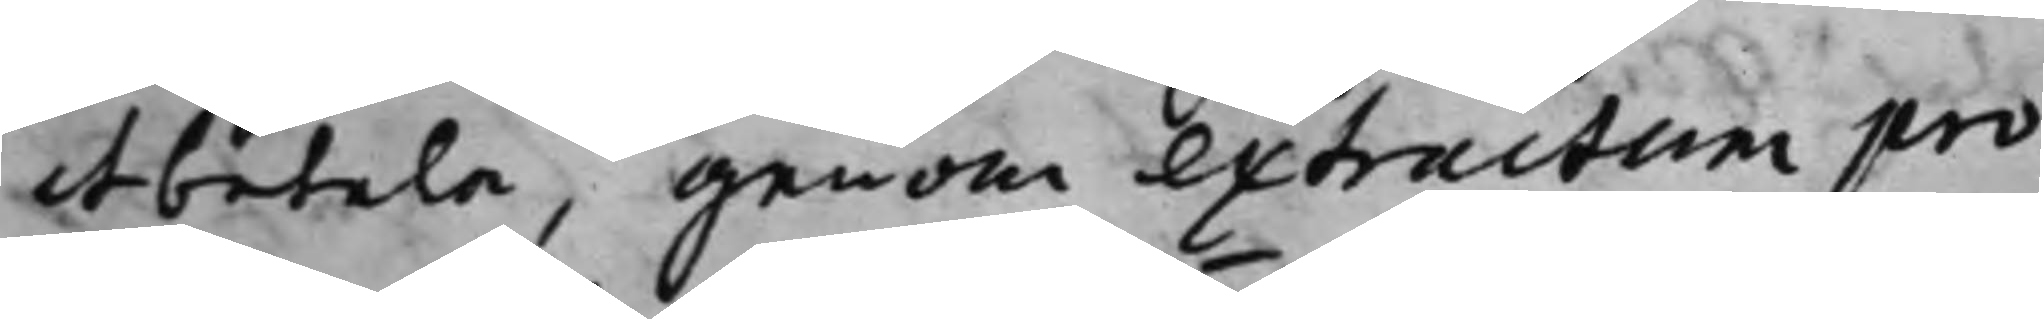at betala, genom extractum pro¬
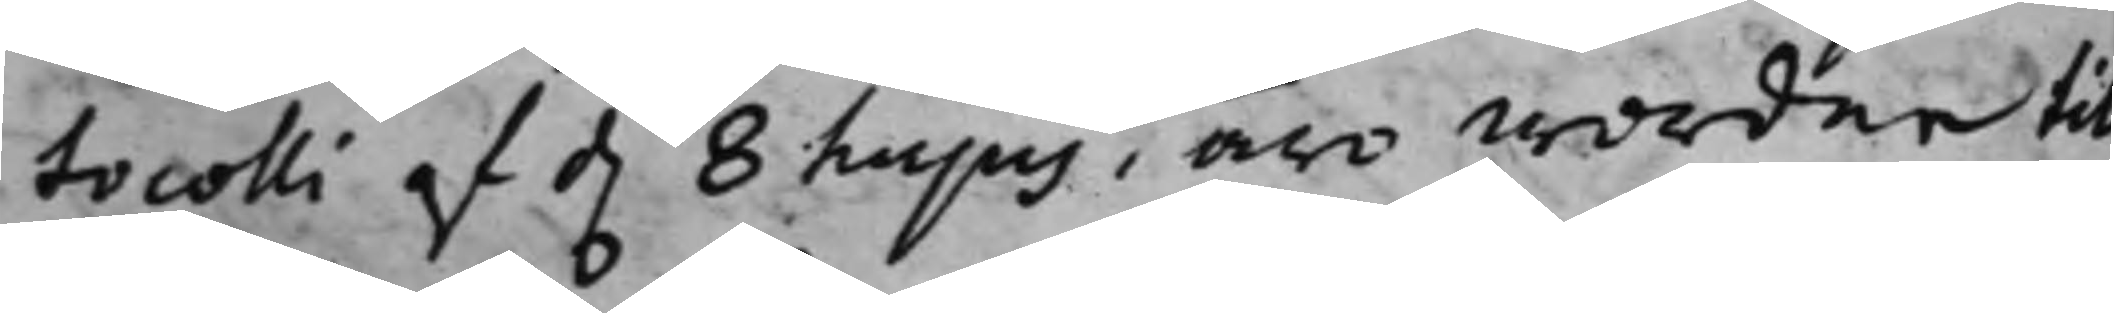tocolli af d. 8 hujus, äro wordne till
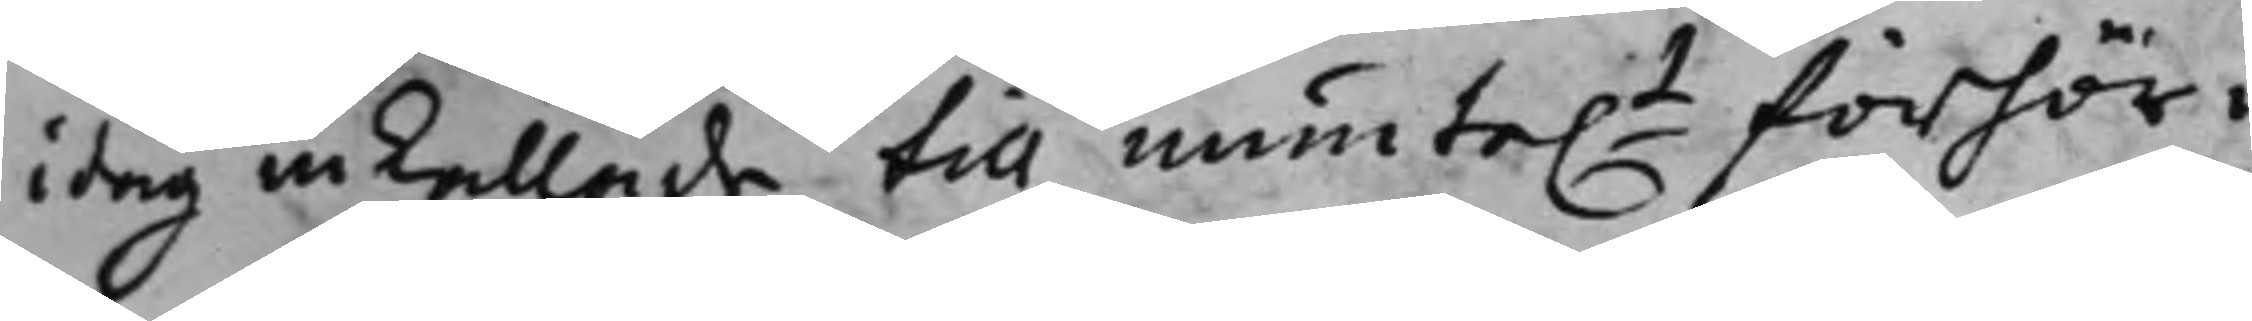i dag inkallade till munte.t förhör i
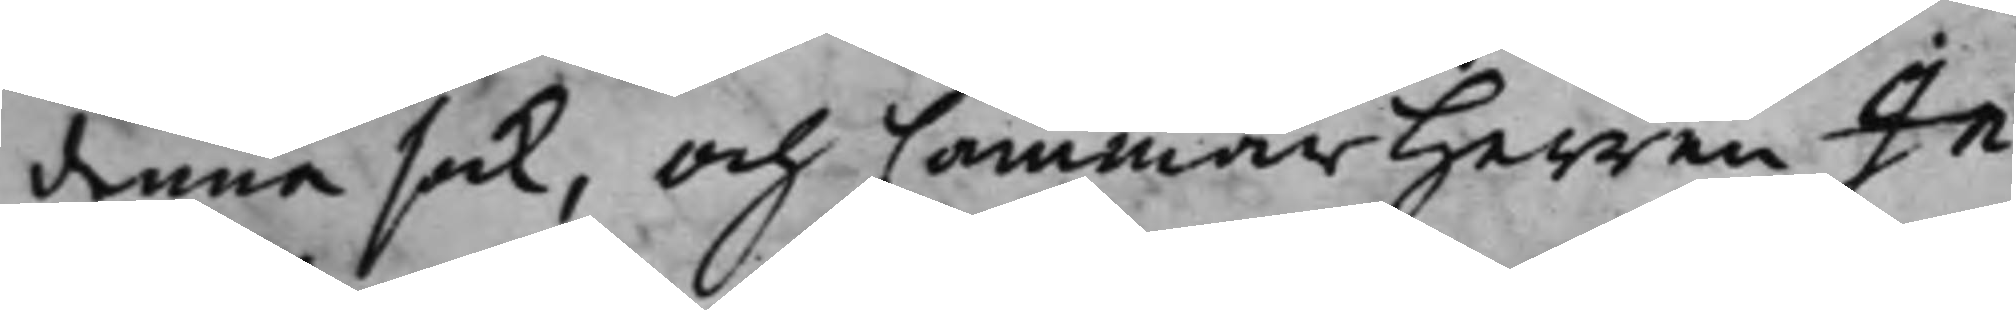denna sak, och Cammarherren In¬
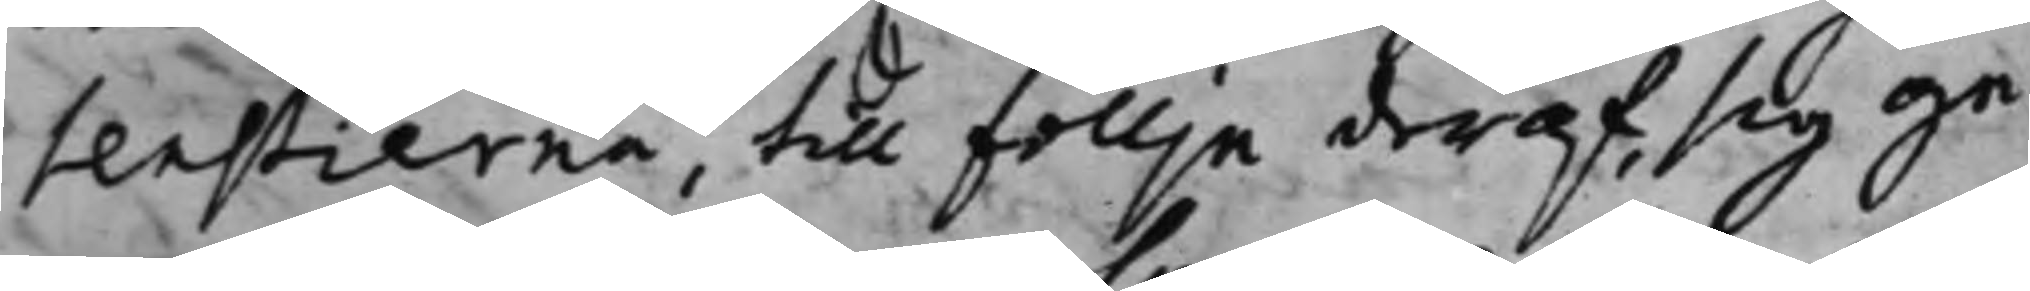tenstierna, till föllje deraf, sig ge¬
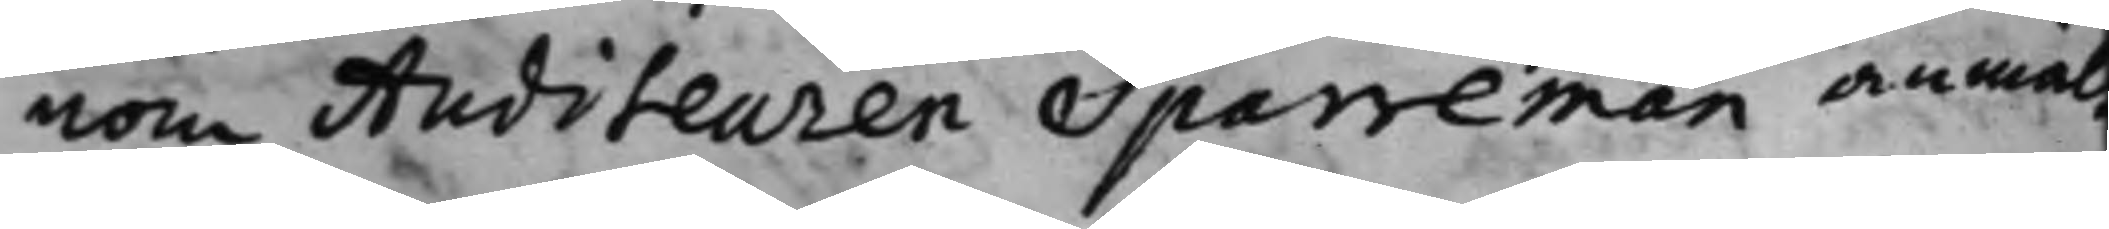nom Auditeuren Sparreman anmäl
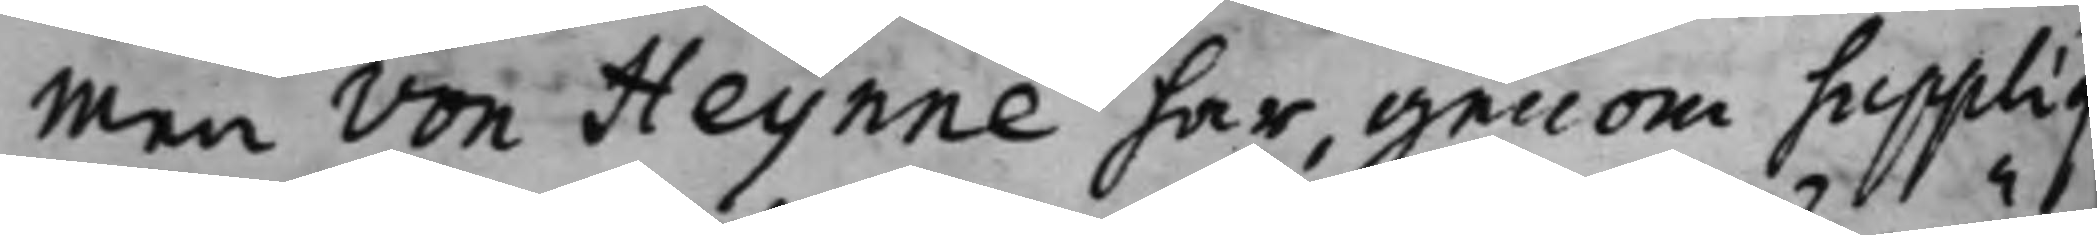men von Heijnne har genom Suppliq
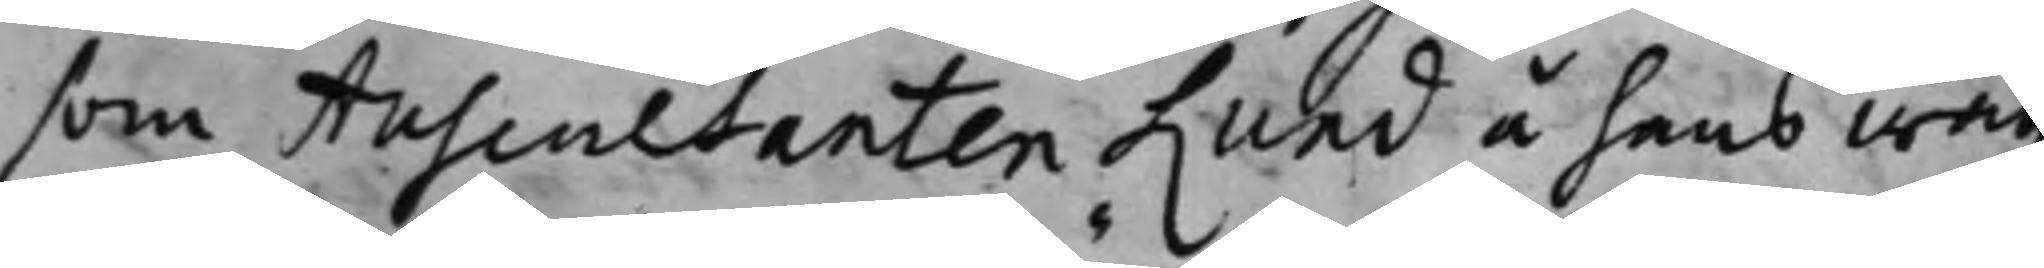som Auscultanten Lund å hans wäg¬
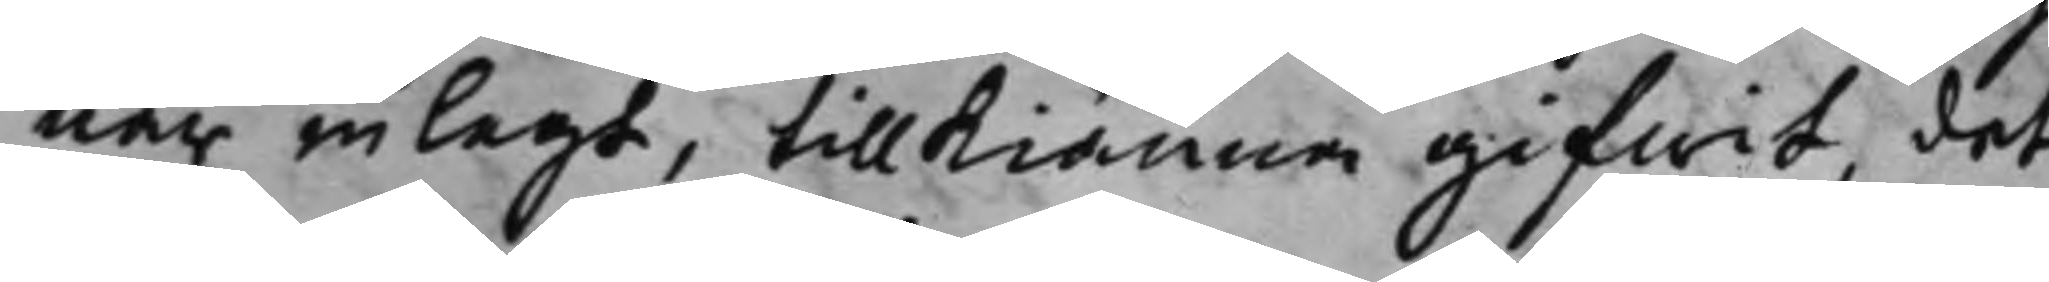nar inlagt, tillkiänna gifwit, det
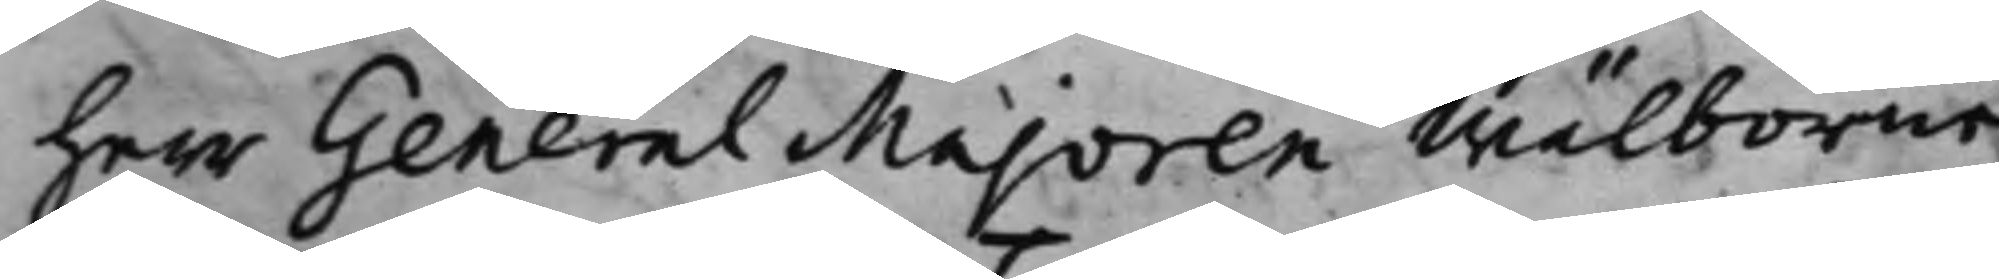Herr General Majoren Wälborne
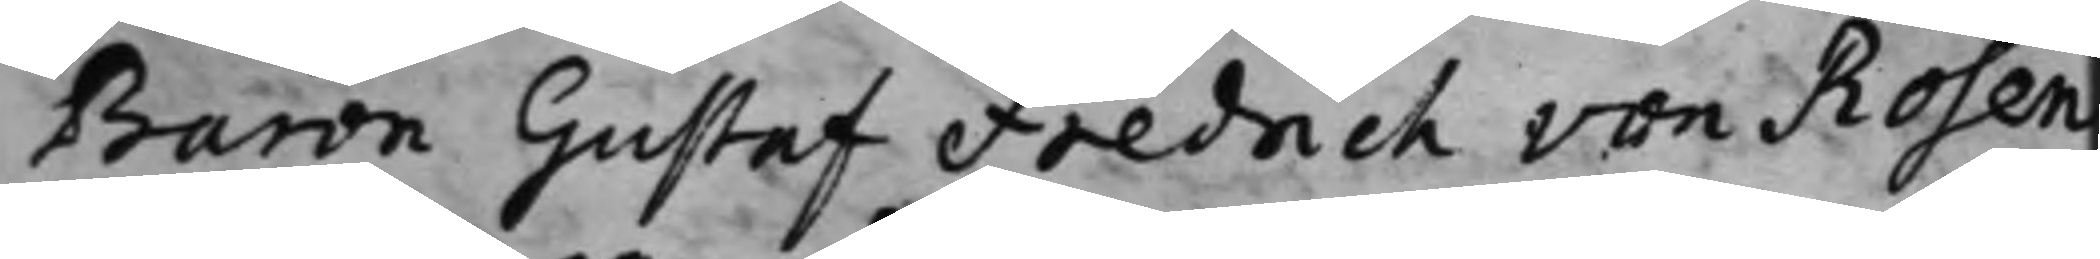Baron Gustaf Fredrich von Rosen
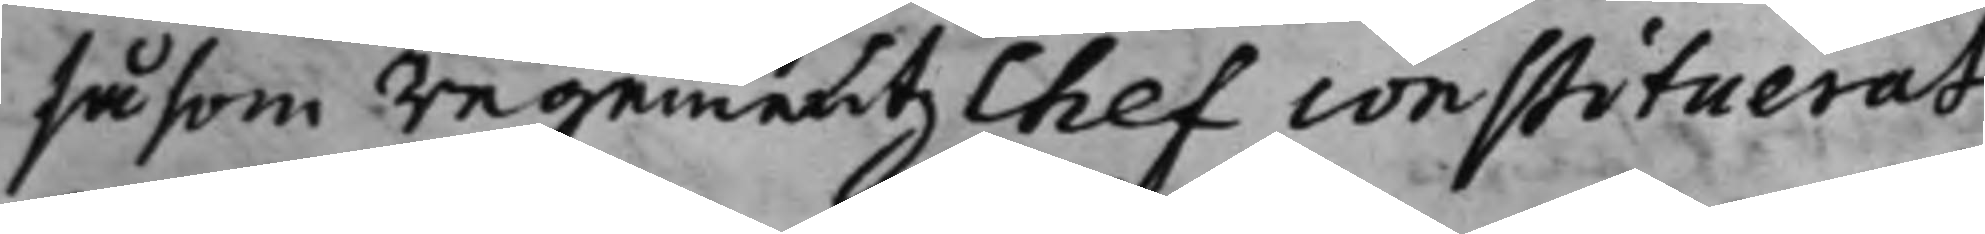såsom Regementz Chef constituerat
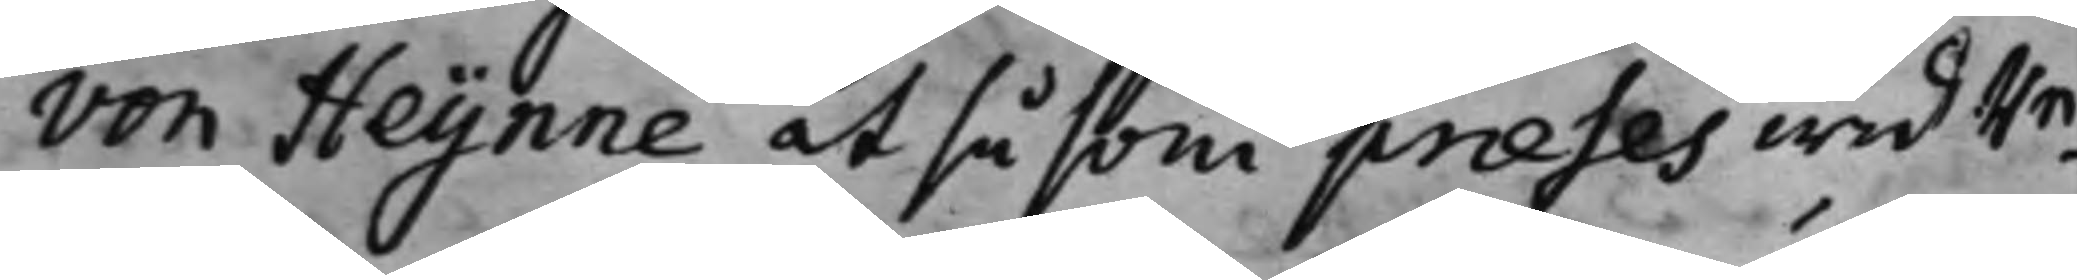von Heijnne at såsom præses wid Re¬
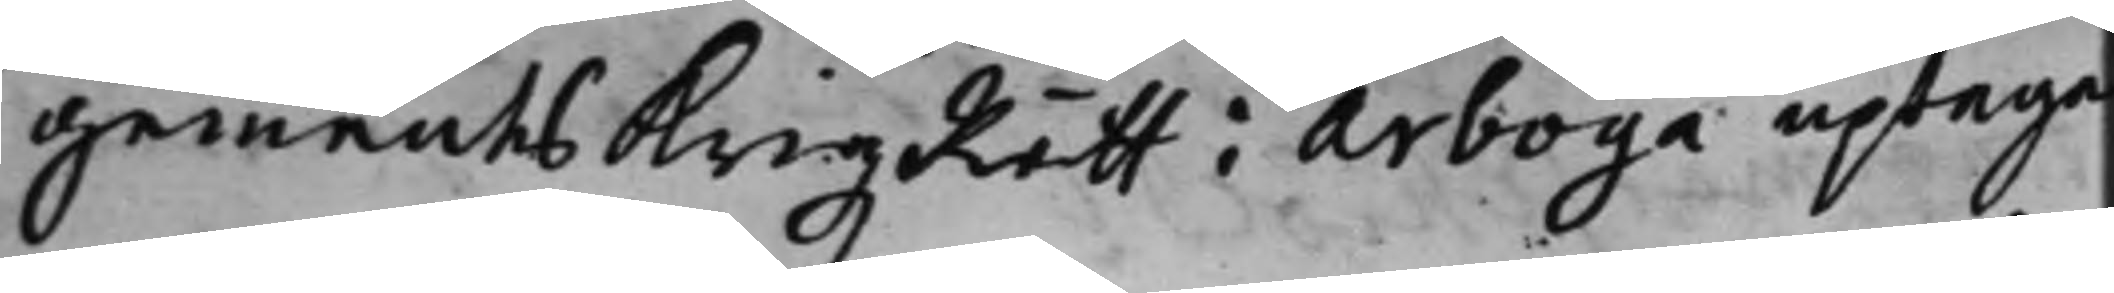gementsKrigzRätt i Arboga uptaga
